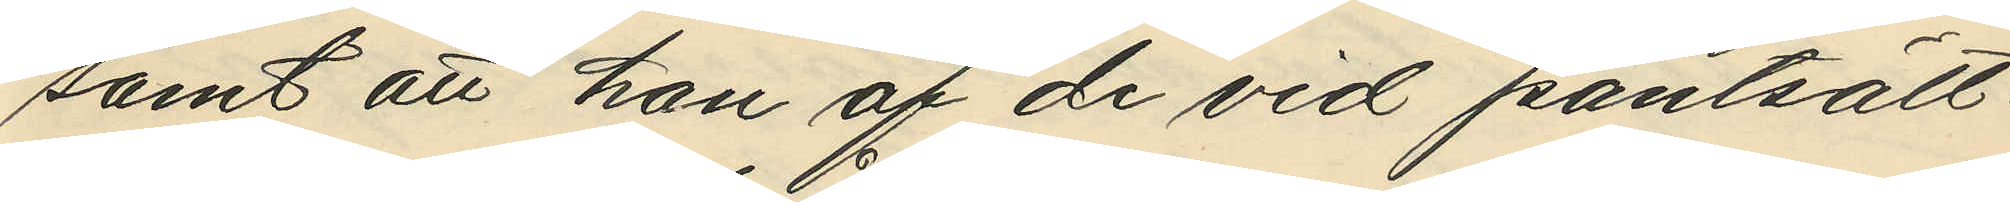samt att han af de vid pantsätt¬
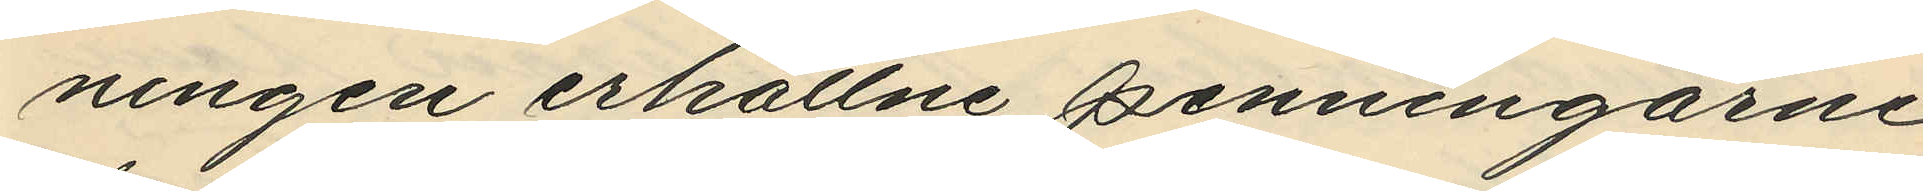ningen erhållne penningarne
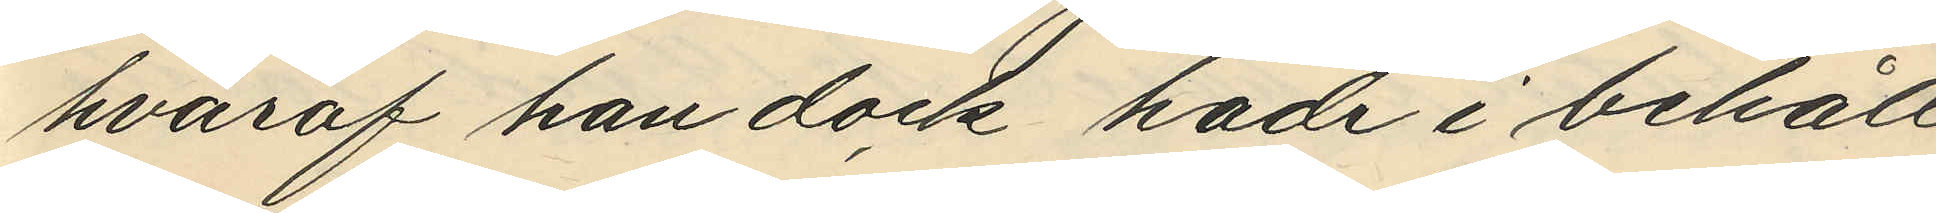hvaraf han dock hade i behåll
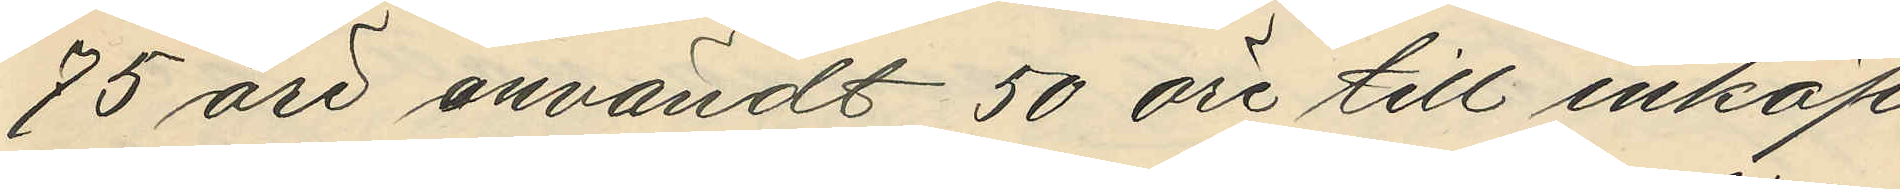75 öre användt 50 öre till inköp
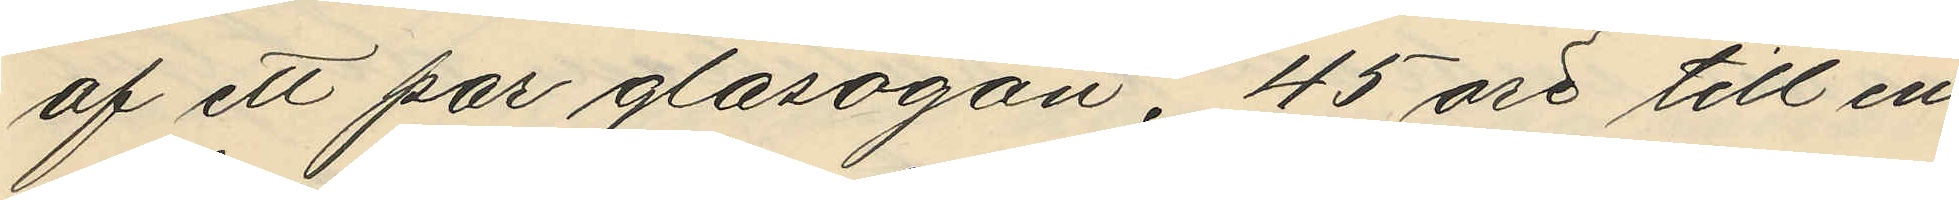af ett par glasögon, 45 öre till en
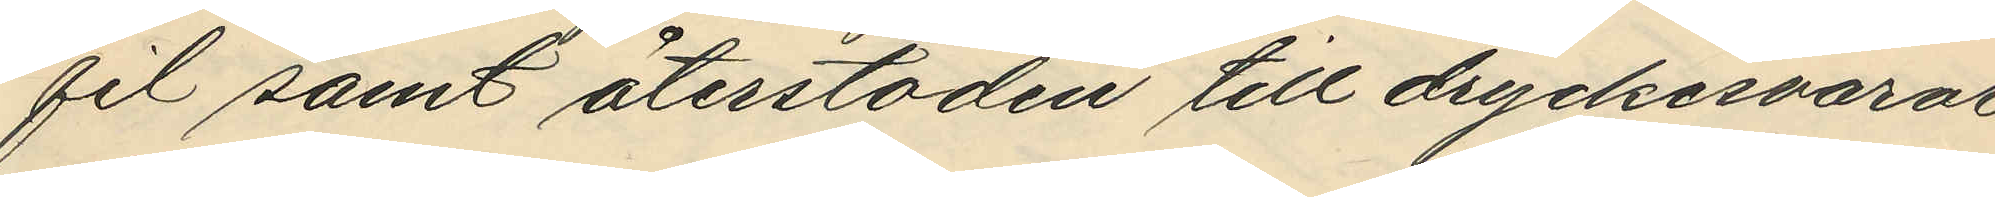fil samt återstoden till dryckesvaror
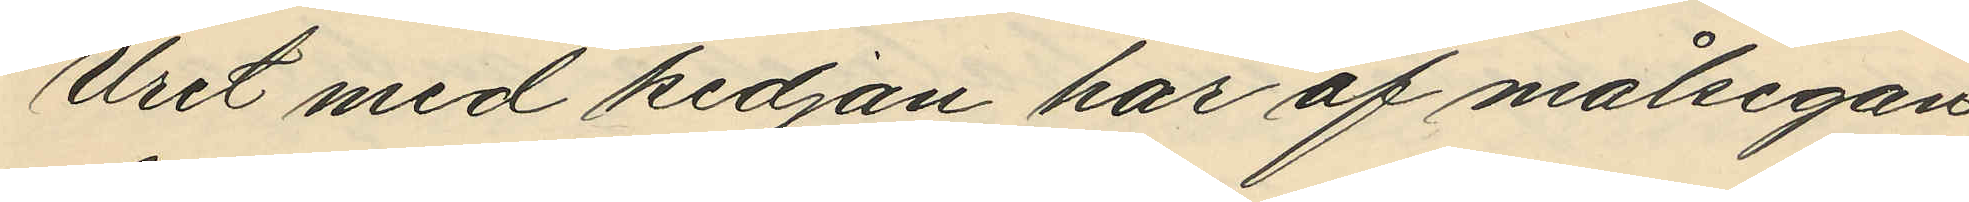Uret med kedjan har af målsegan¬
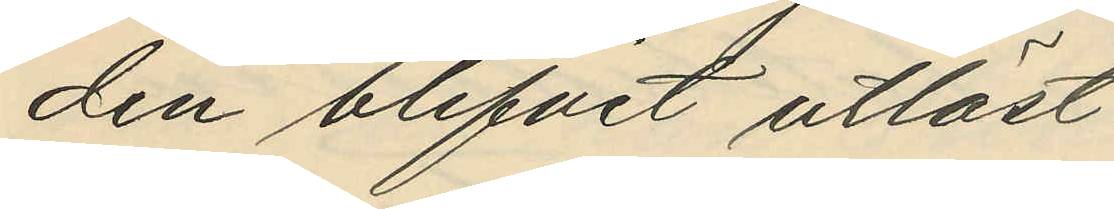den blifvit utlöst.
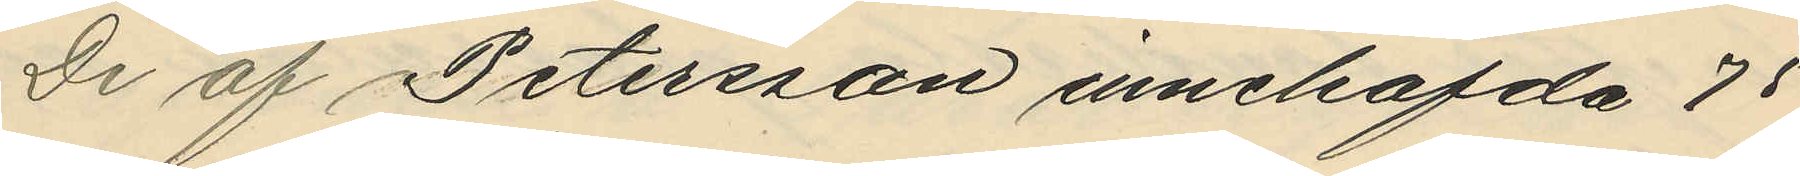De af Petersson innehafda 75
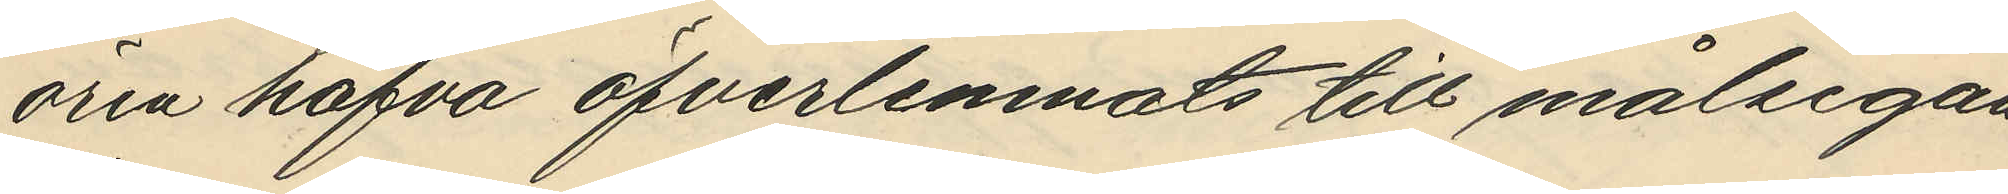ören hafva öfverlemnats till målsegan¬
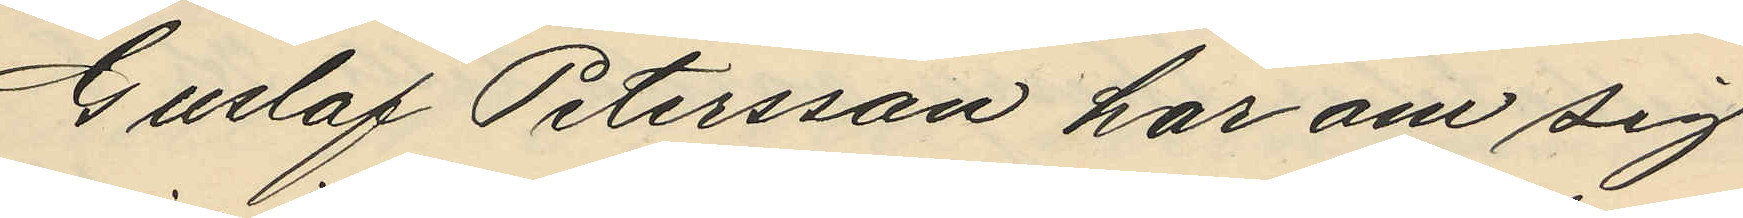Gustaf Petersson har om sig
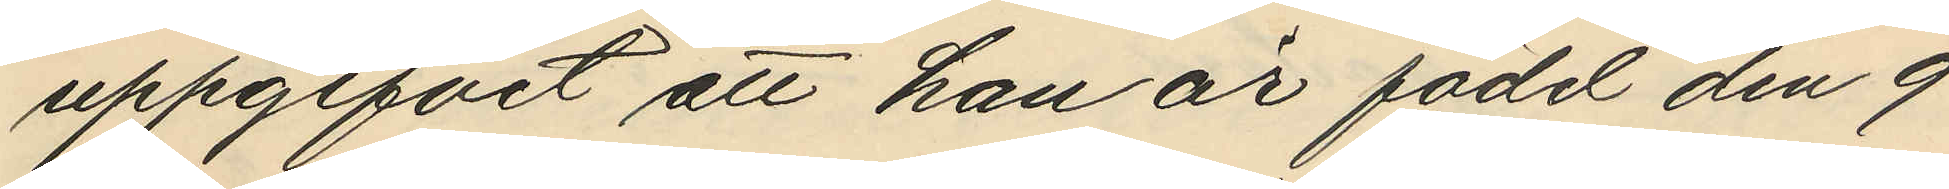uppgifvit att han är född den 9
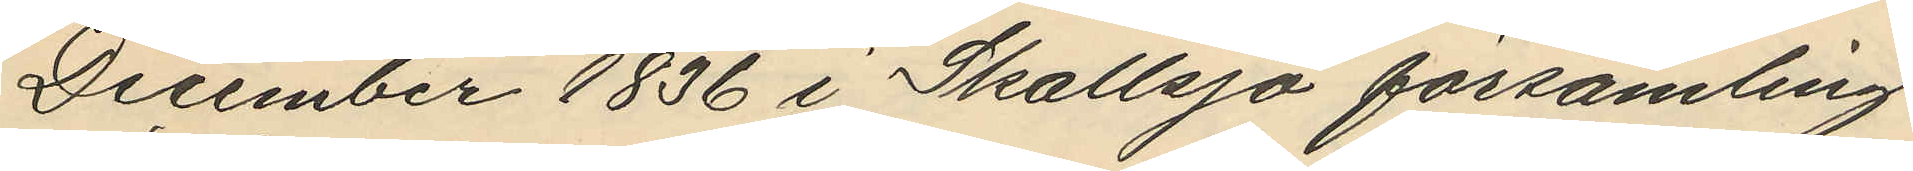December 1836 i Skallsjö församling
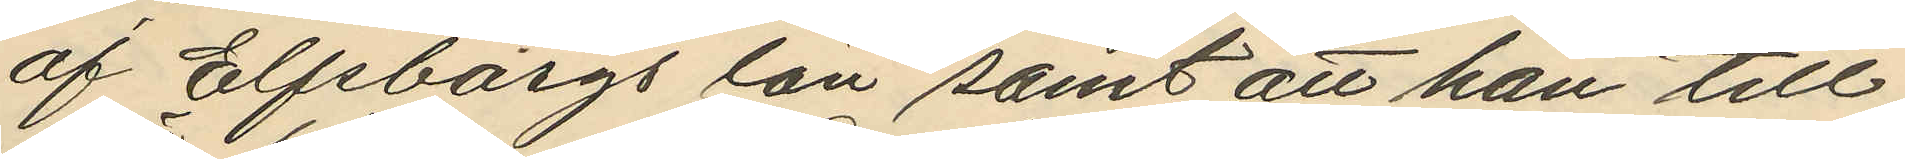af Elfsborgs län samt att han till¬
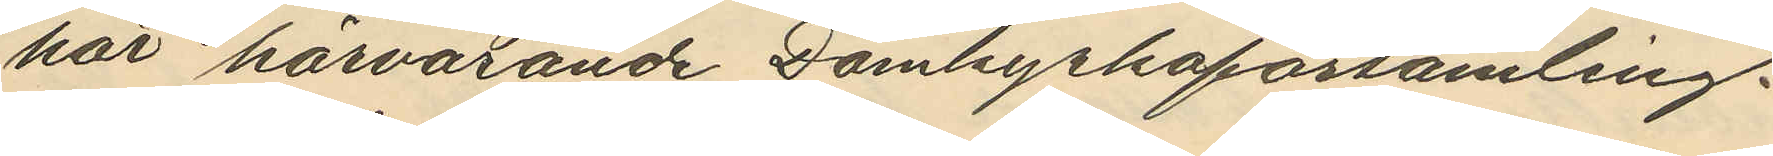hör härvarande Domkyrkoförsamling.
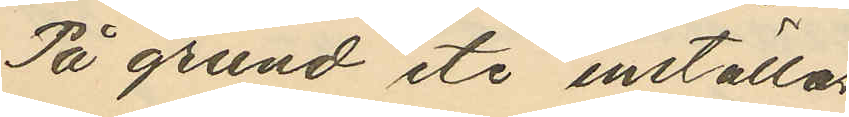På grund etc inställas
